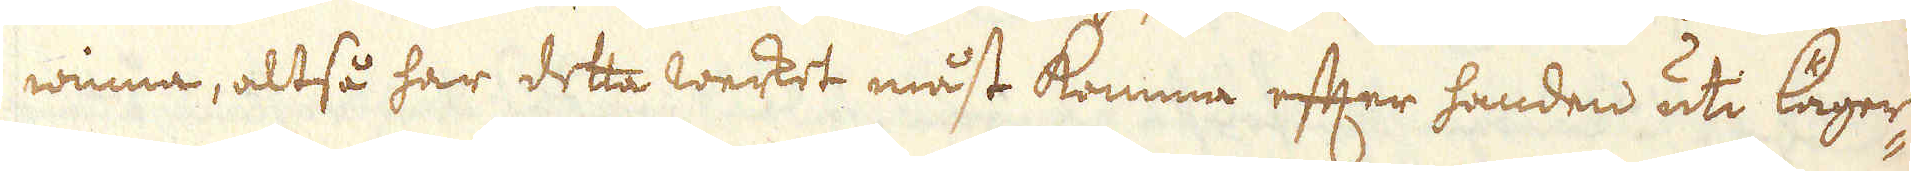winna, altså har detta werket måst komma efter handen uti läger-
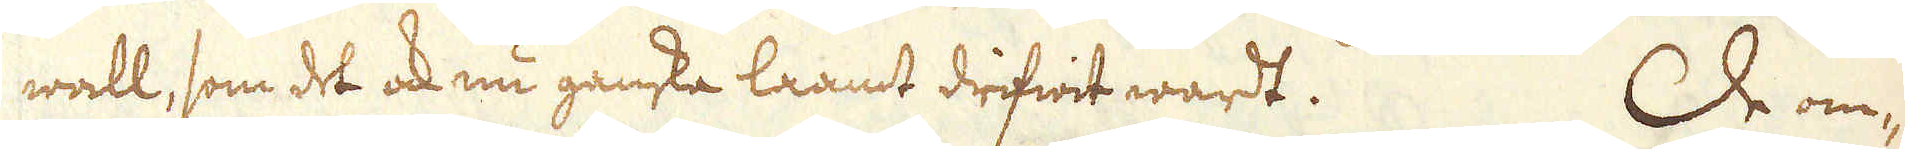wall, som det ock nu ganska laamt drifwit wardt. De om-
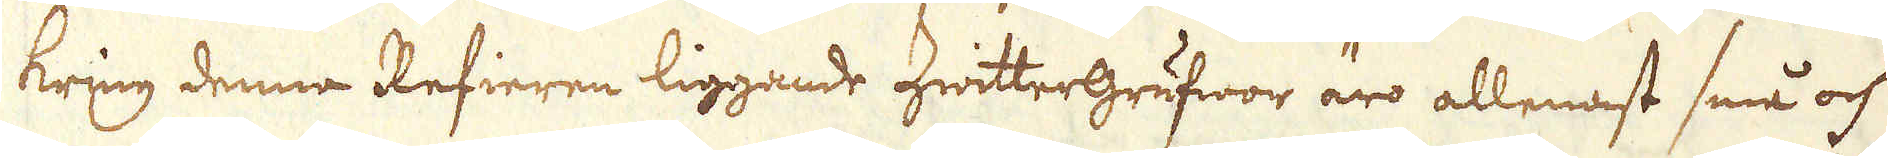kring denna Refieren liggande Zwittergrufwor äro allenast små och
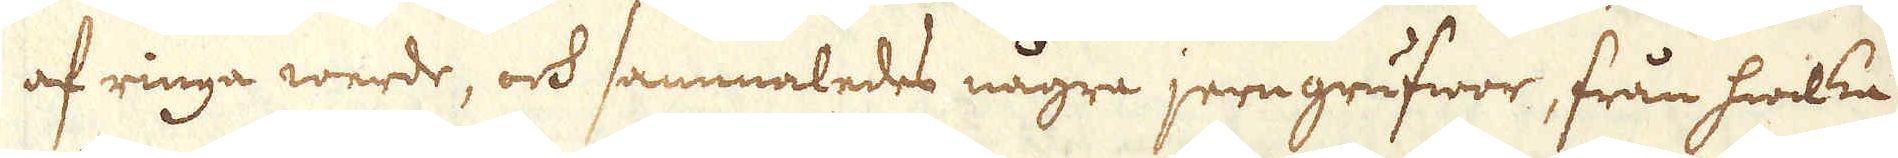af ringa werde, och sammaledes några jerngrufwor, från hwilka
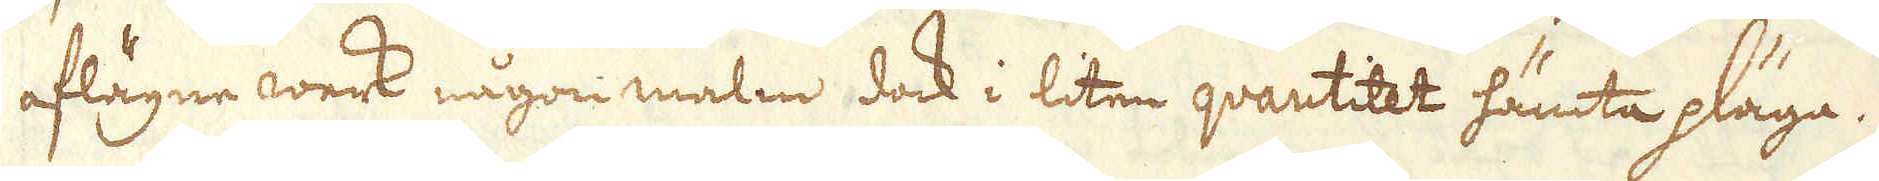aflägne werk någon malm dock i liten qvantitet hämta pläga.
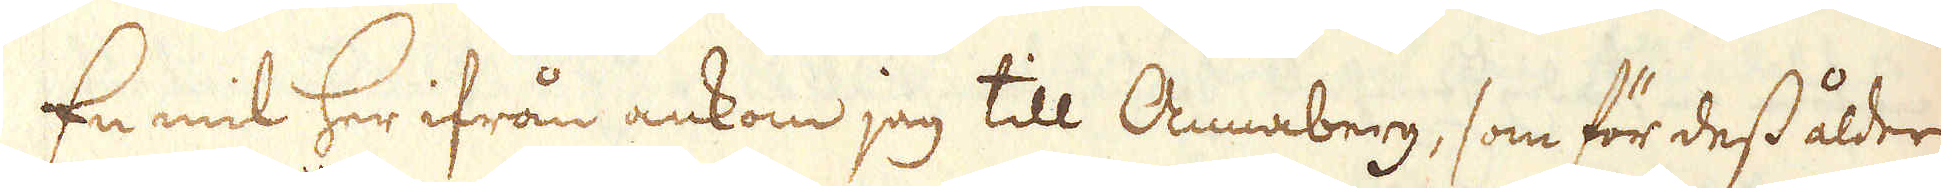En mil her ifrån ankom jag till Annaberg, som för dess ålder
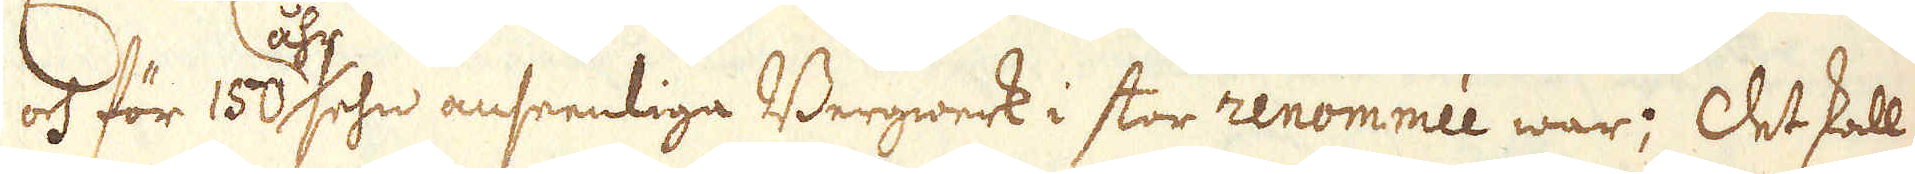och för 150 åhr sehn anseenliga Bergwerk i stor renommée war; Det skall
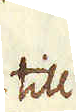till
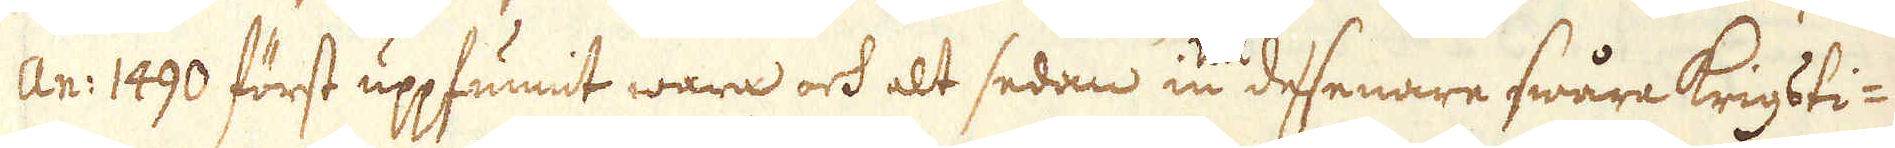An: 1490 först uppfunnit wara och alt sedan in till desenare swåra Krigsti-
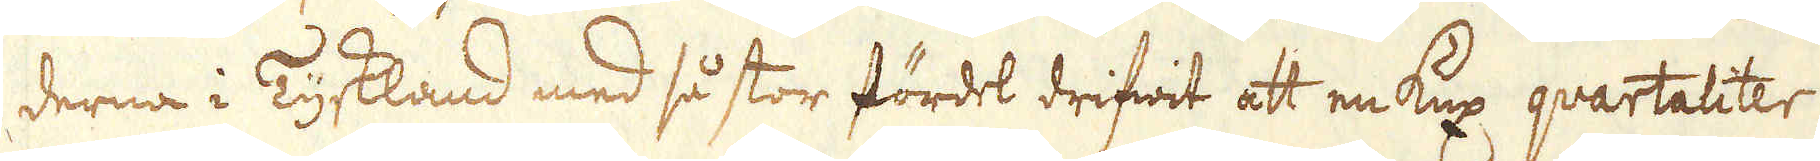derna i Tyskland med så stor fördel drifwit att en kux quartaliter
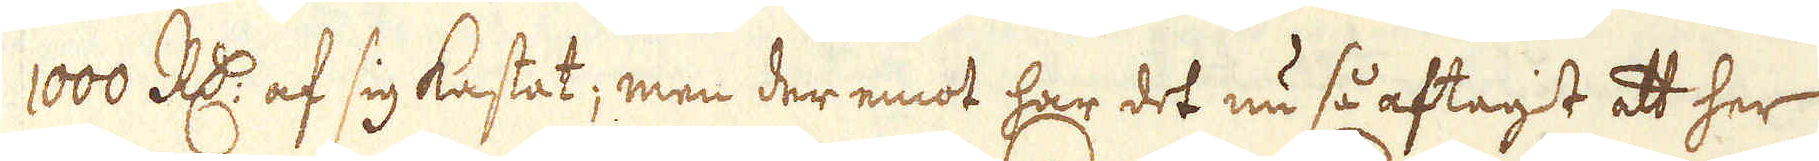1000 R:dr af sig kastat; men der emot har det nu så aftagit att her
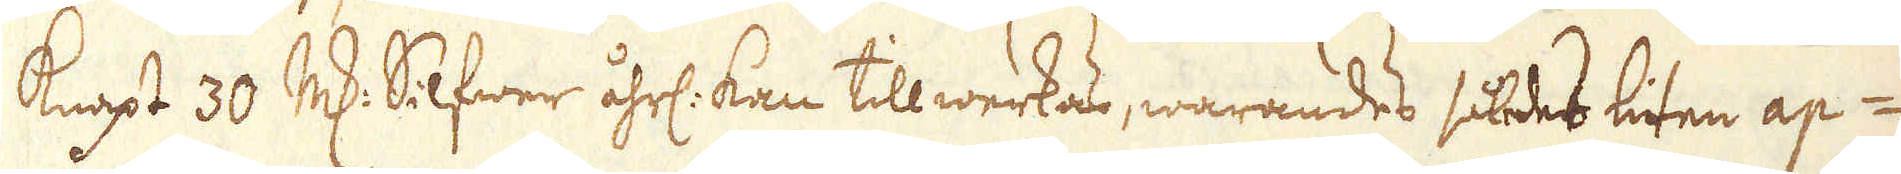knapt 30 marker Silfwer åhrl: kan tillwerkas, warandes således liten ap-
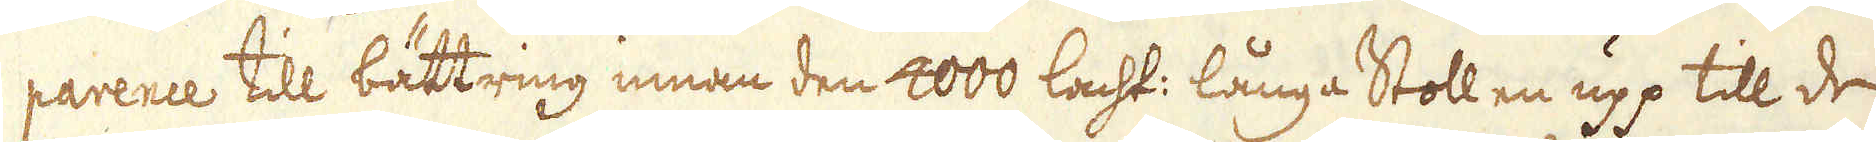parence till bättring innan den 4000 lacht: långa Stollen upp till de
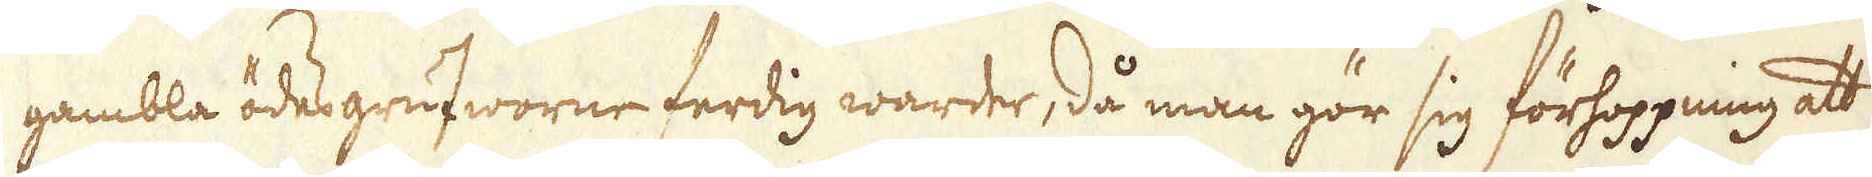gambla ödesgrufworne ferdig warder, då man gör sig förhoppning att
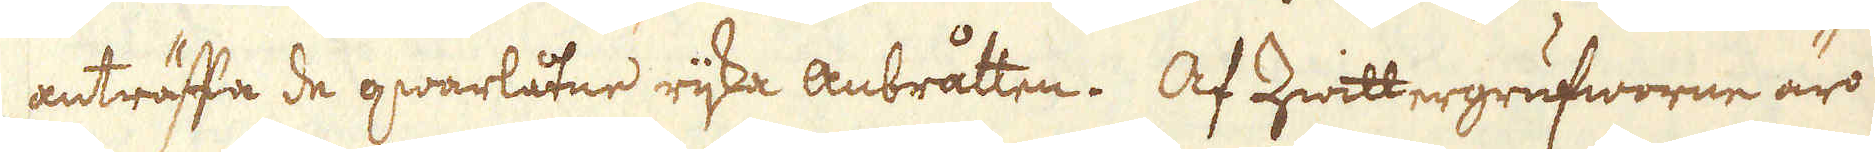anträffa de qwarlåtne rijka anbråtten. Af Zwittergrufworne äro
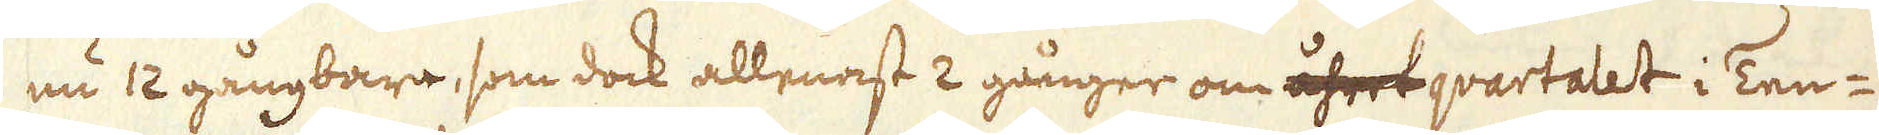nu 12 gångbara, som dock allenast 2 gånger om åhret qvartalet i Ten-
